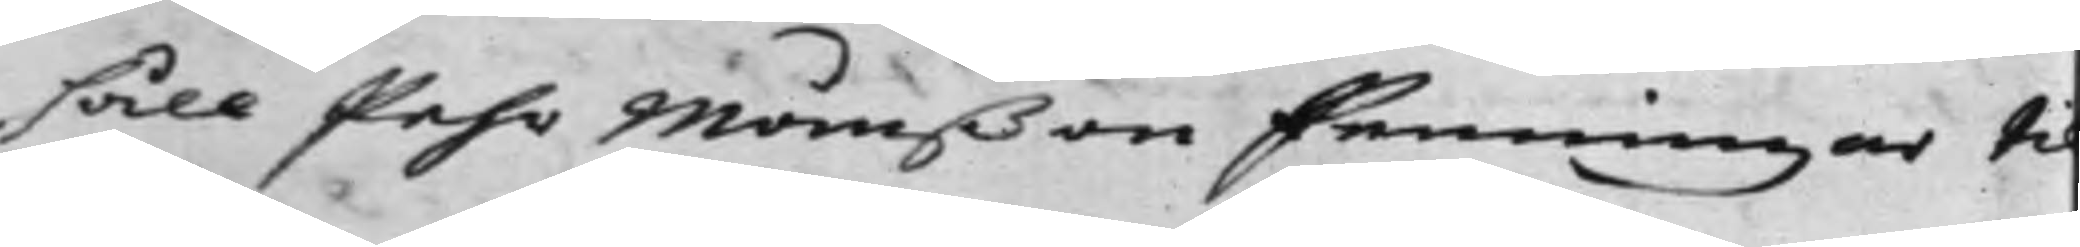håll Pehr Månßon Penningar ti
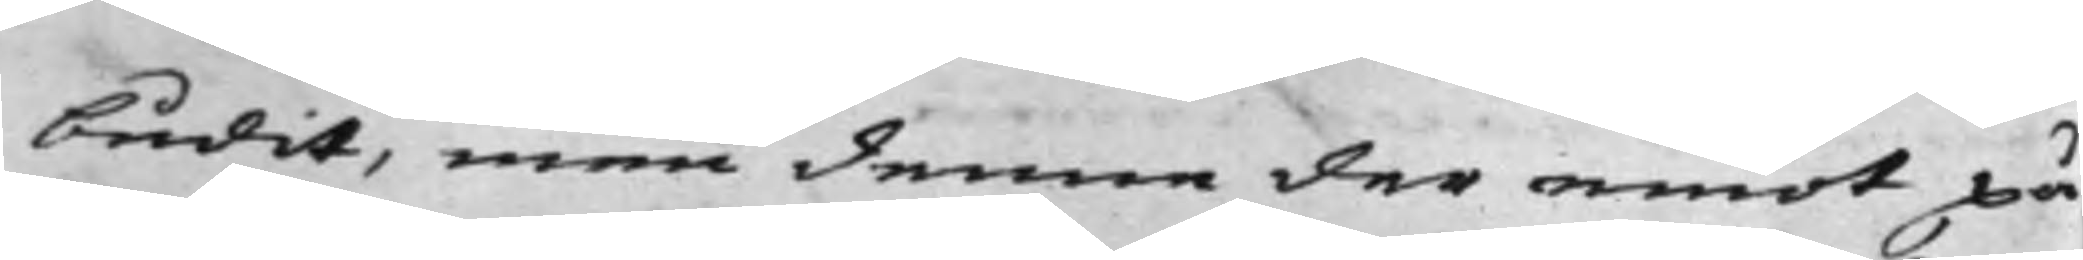budit, men denne der emot på¬
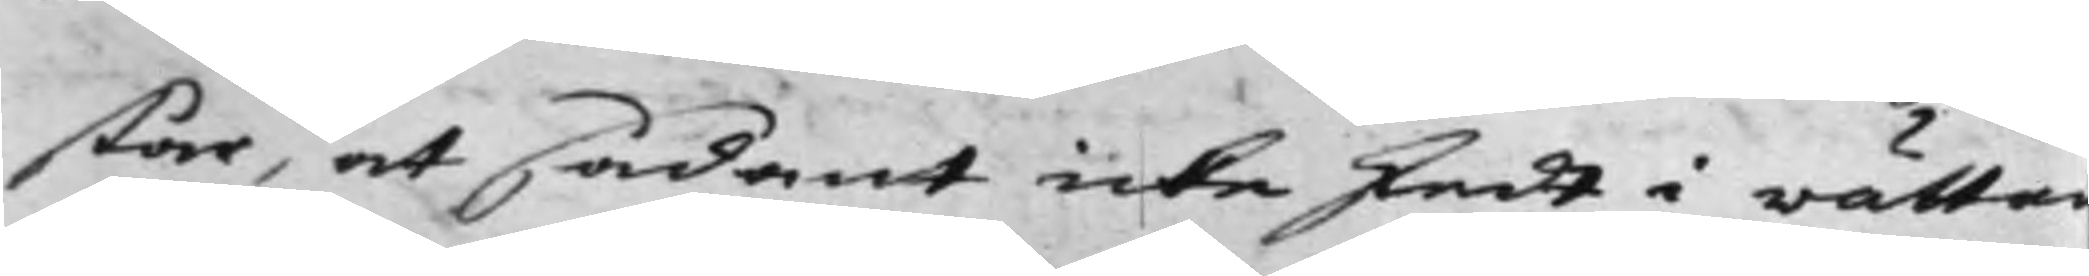står, at sådant icke skedt i rätta
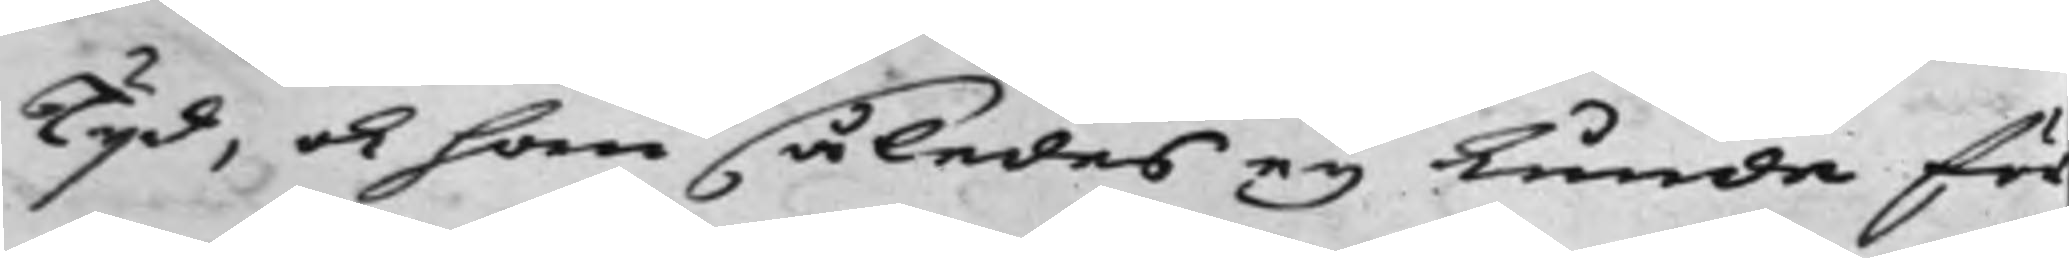Tijd, ok han således ey kunde för¬
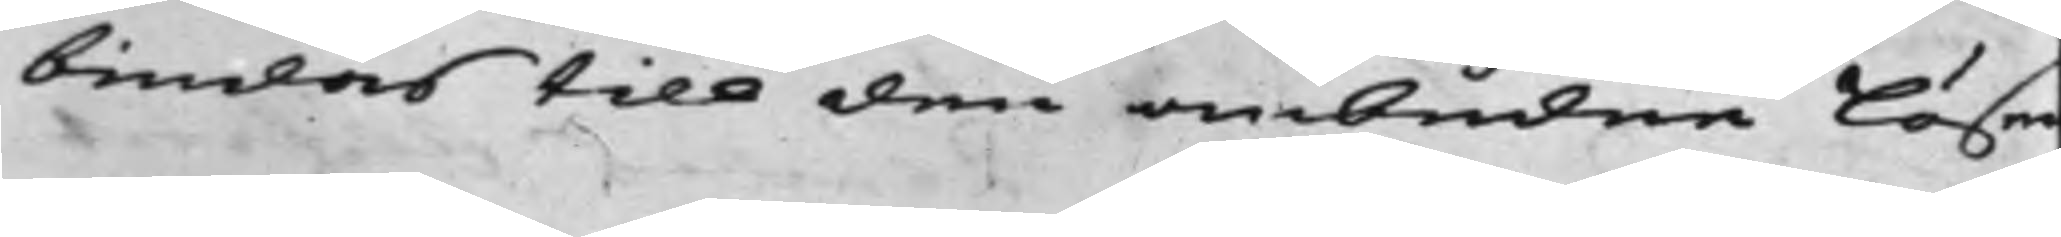bindas till den ombudne löse
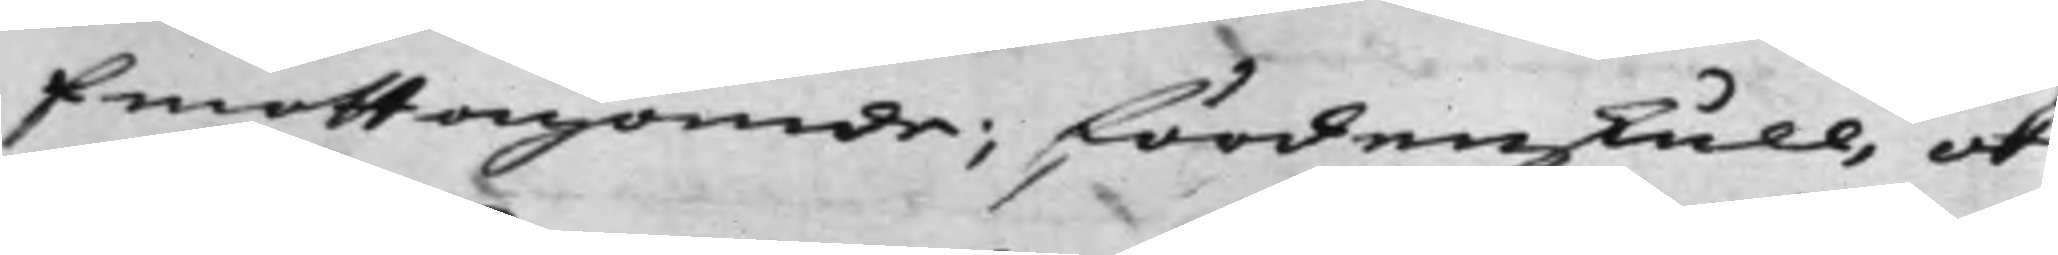Emottagande; fördenskull, och
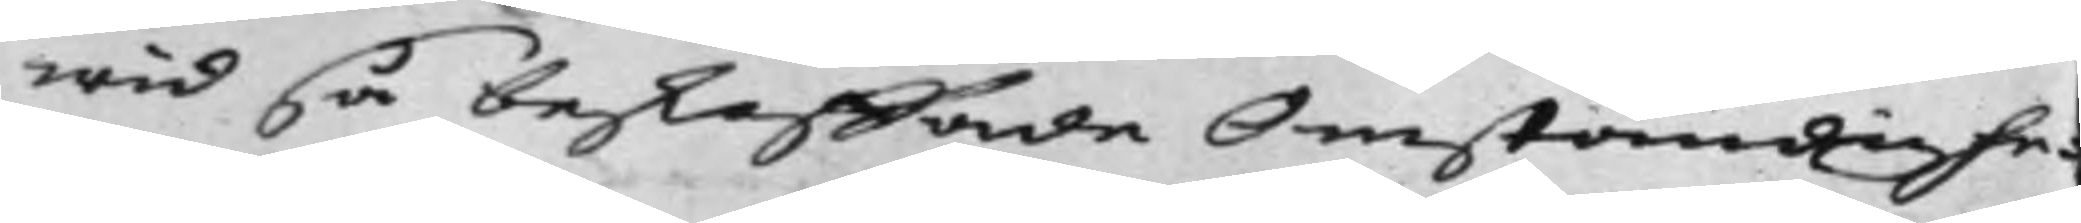wid så beskaffade Omständighe¬
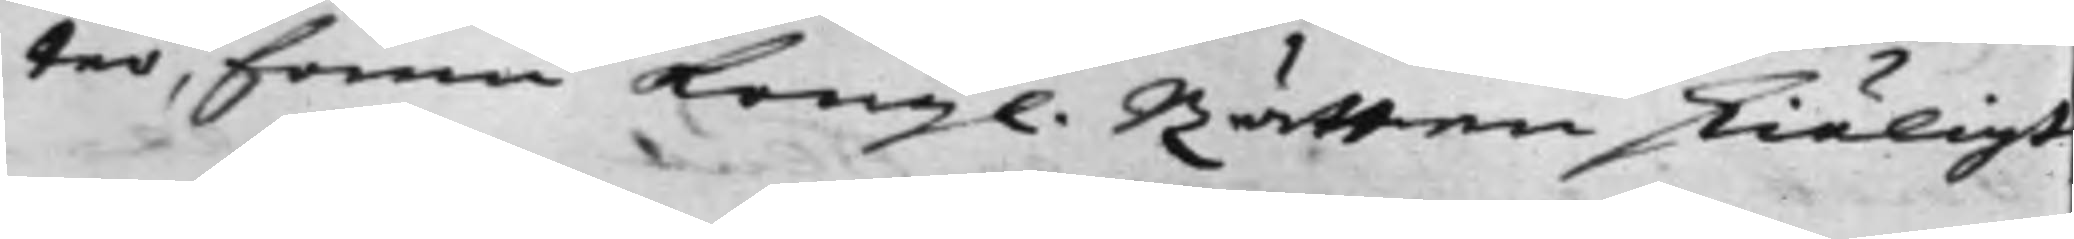ter, fann Kongl. Rätten skiäligt
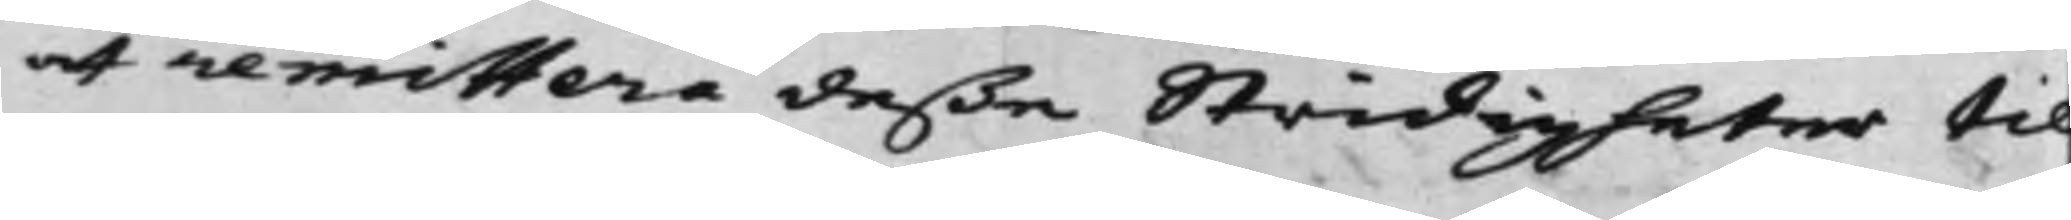at remittera deßa Stridigheter til
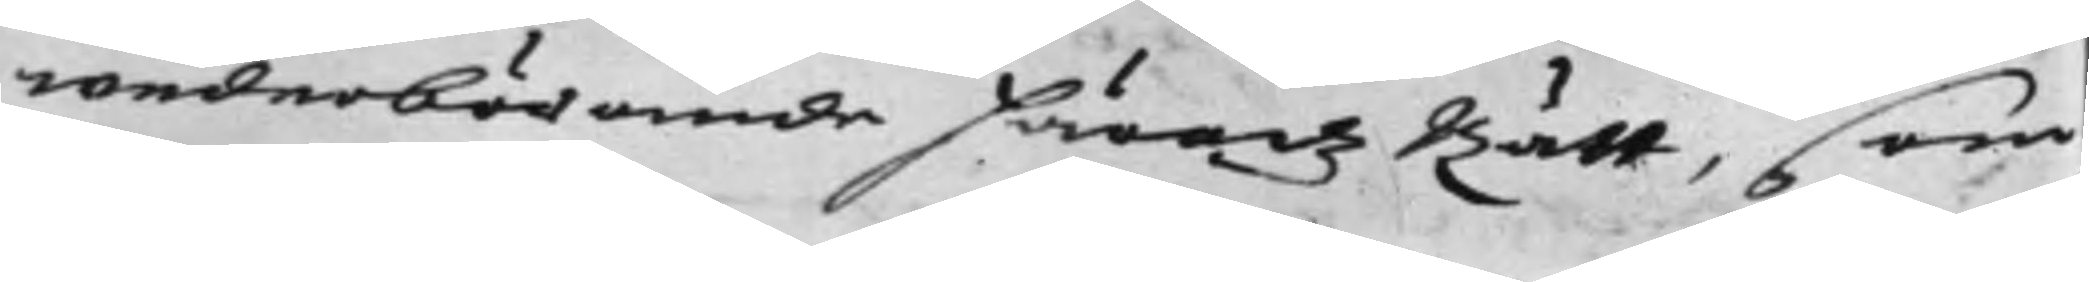wederbörande Häradz Rätt, som
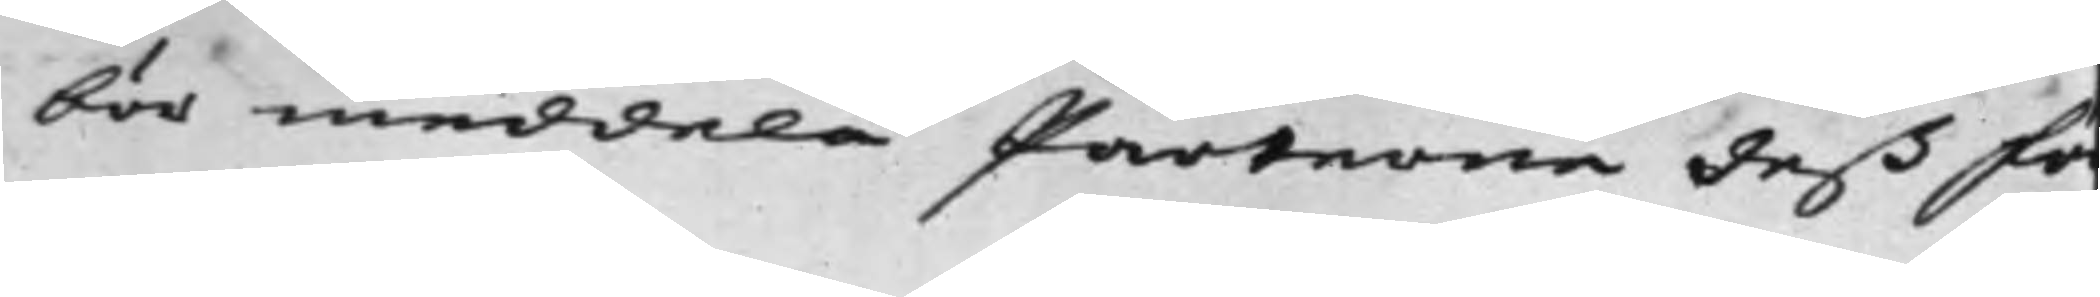bör meddela Parterna deß för¬
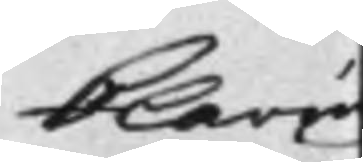klaring
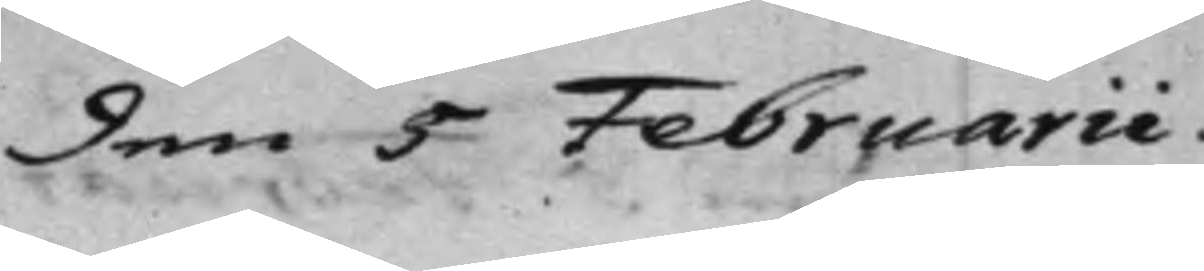den 5 Februarii.
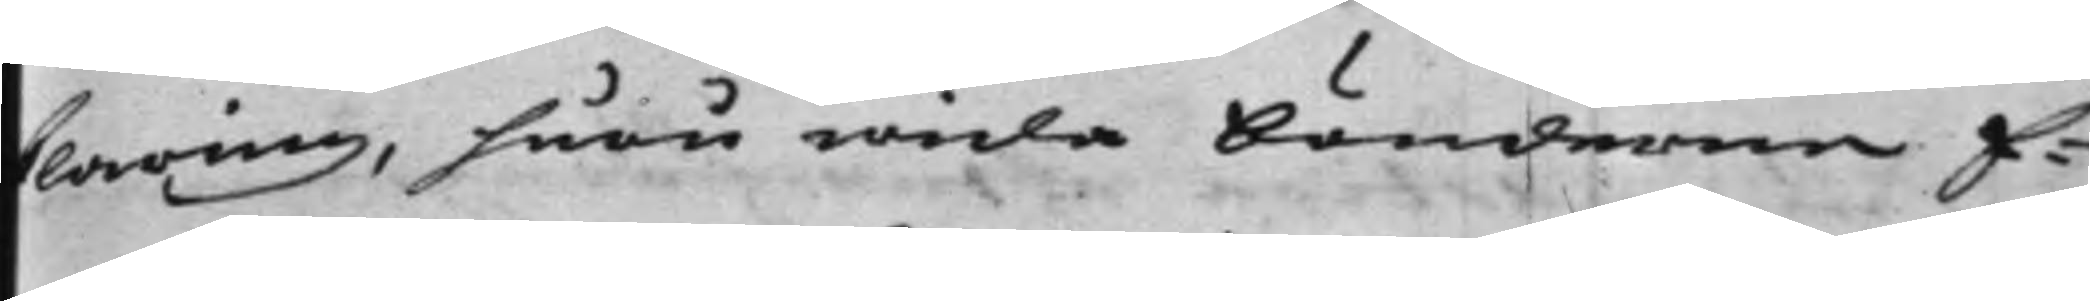klaring, huru wida bönderna E¬
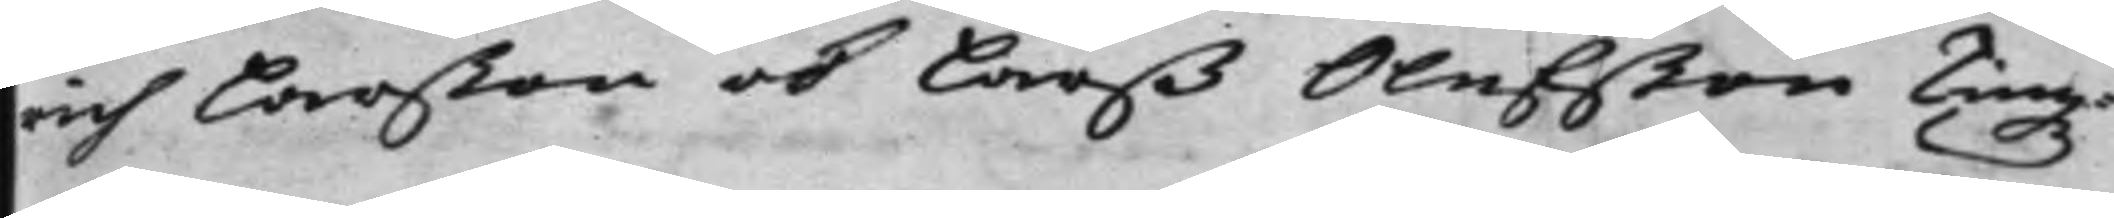rich Larßon ok Larß Olufßon Tingz¬
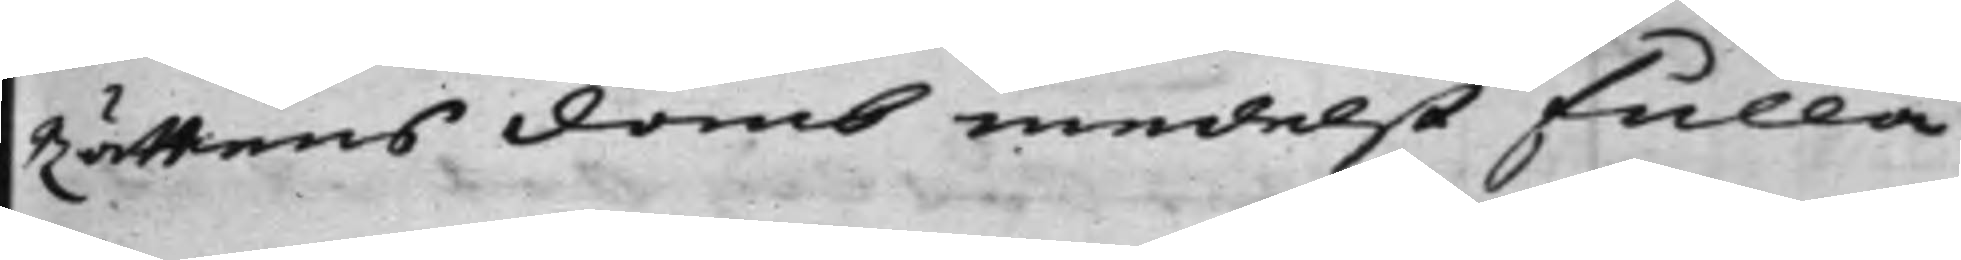Rättens Domb medelst fulla
